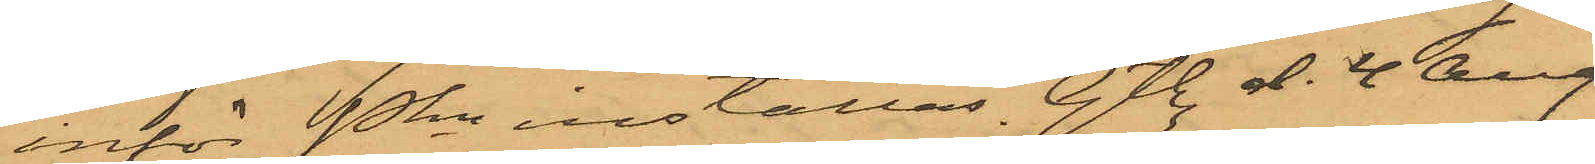inför Pkn inställas. Gtbg. d. 4 Aug.
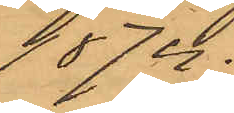1874.
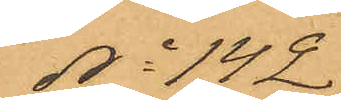No 142
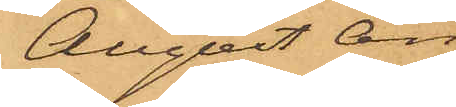August An¬
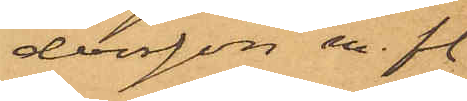dersson m. fl.
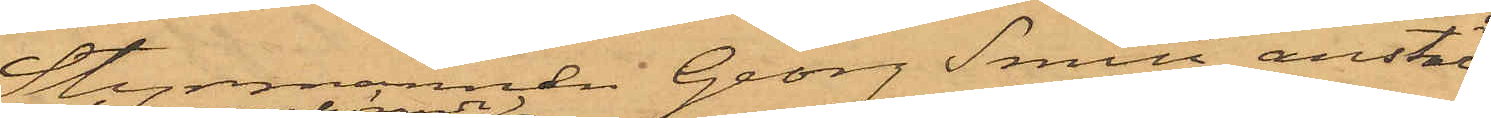Styrmannen Georg Smith, anstäld
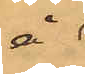å
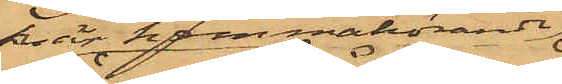här kemmahörande
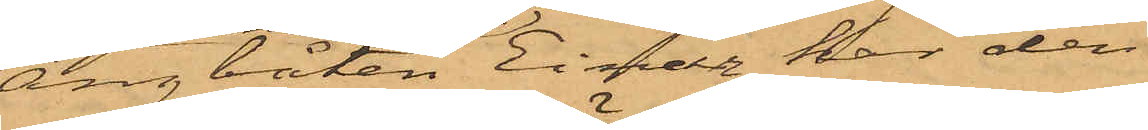Ångbåten Einar, har den
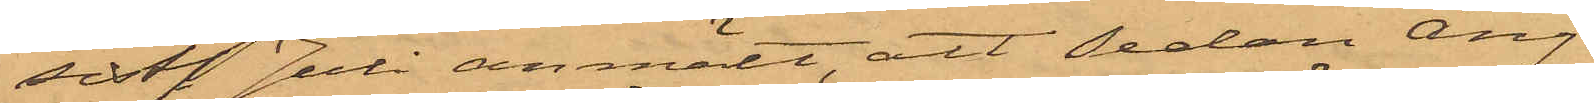sist. Juli anmält, att sedan Ång¬
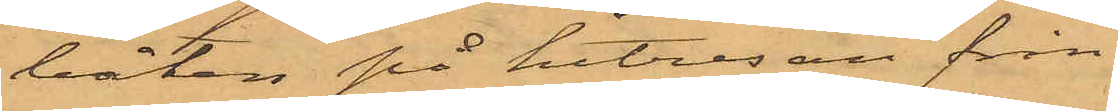båten på hitresan från
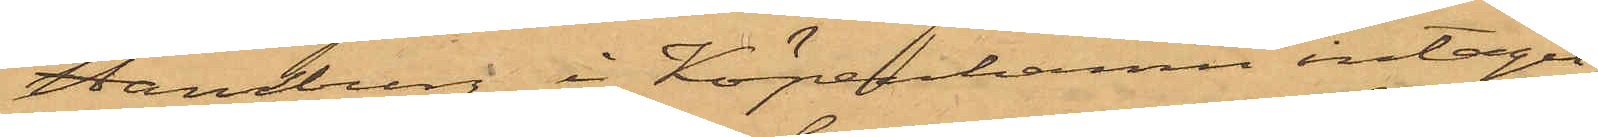Hamburg i Köpenhamn intagit
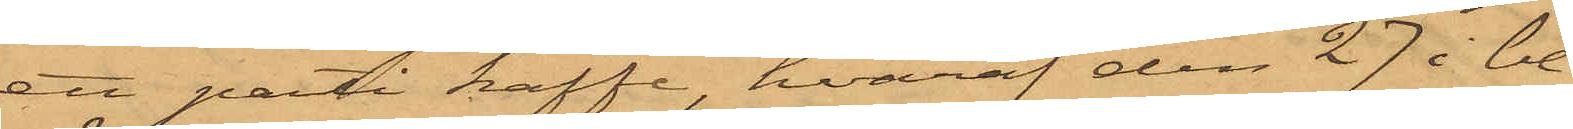ett parti kaffe, hvaraf den 27 i be¬
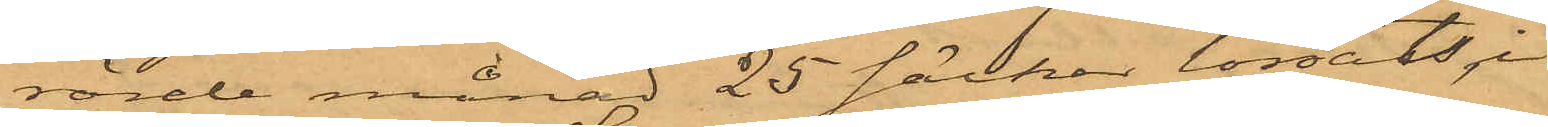rörde månad 25 säckar lossats,i
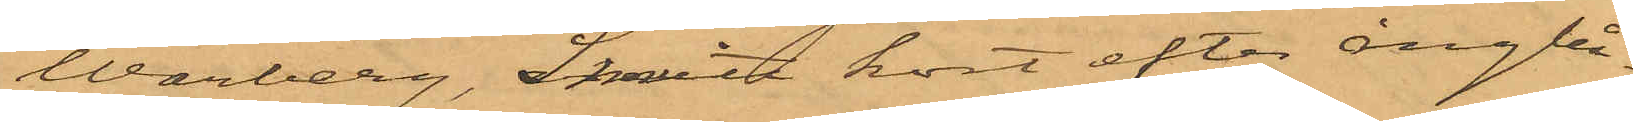Warberg, Smith kort efter ångbå¬
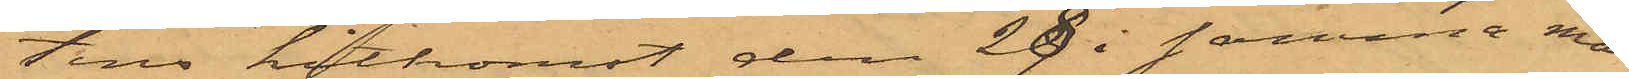tens hitkomst den 29 i samma må¬
